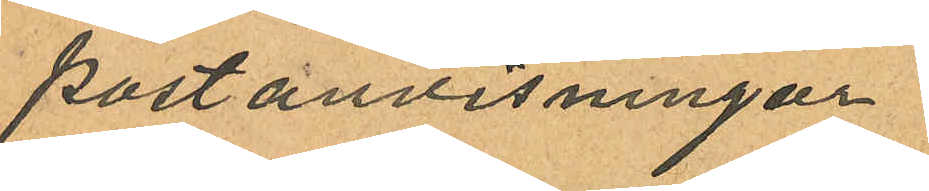postanvisningar
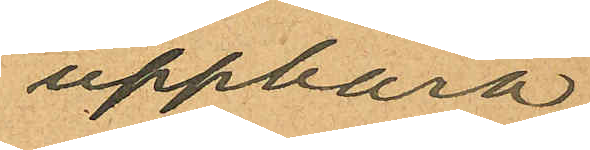uppbära
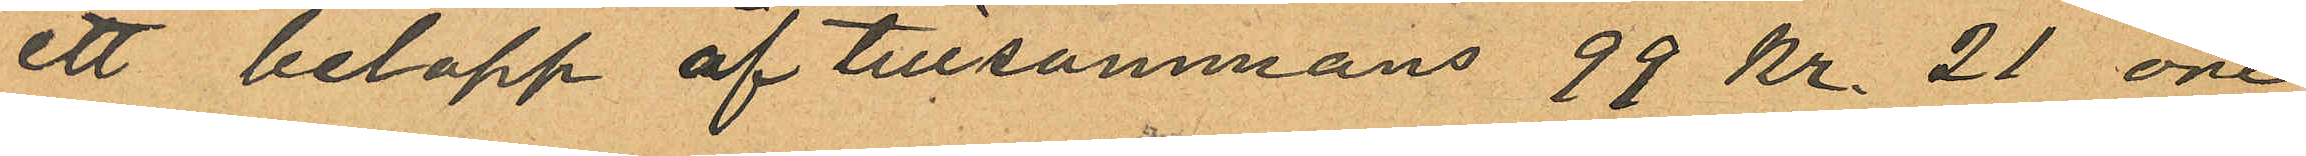ett belopp af tillsammans 99 kr. 21 öre
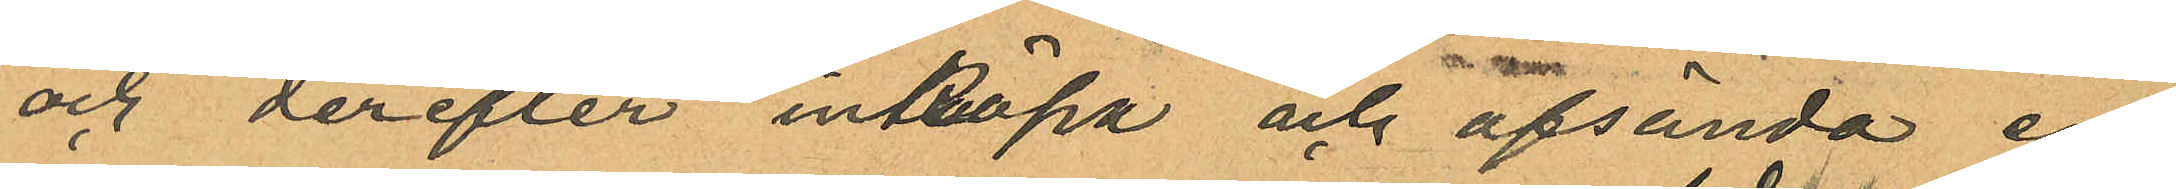och derefter inköpa och afsända en
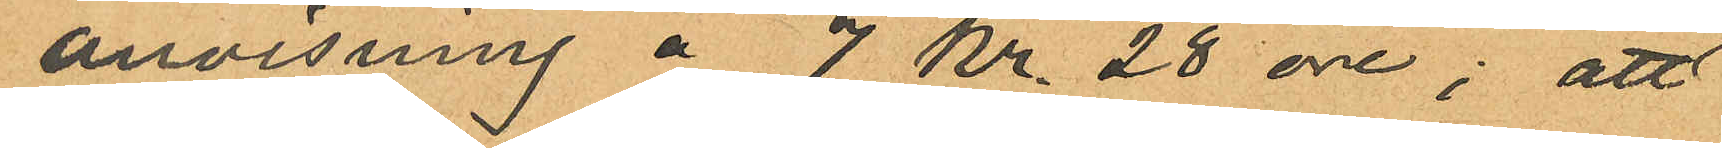anvisning å 7 Kr. 28 öre; att
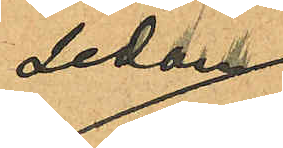sedan
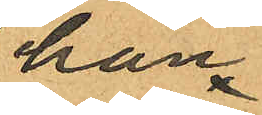han
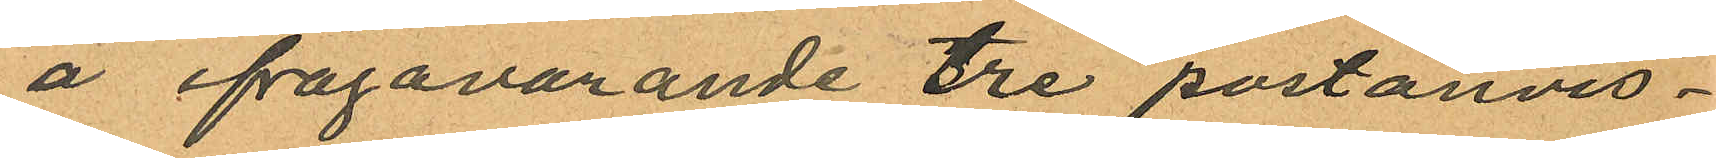å ifrågavarande tre postanvis¬
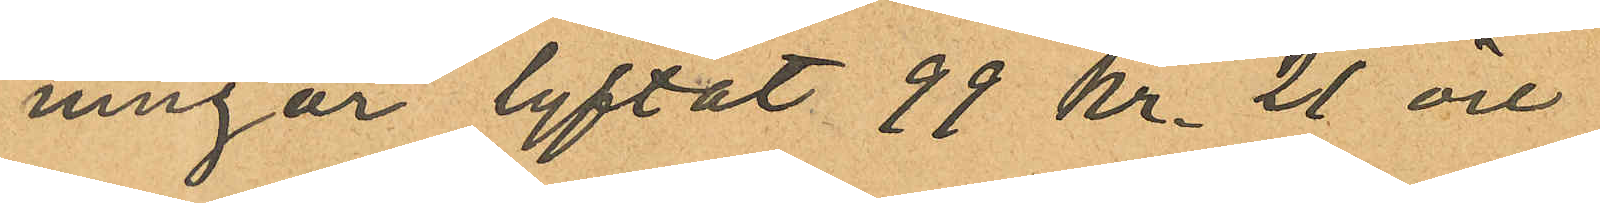ningar lyftat 99 kr. 21 öre
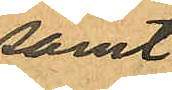samt
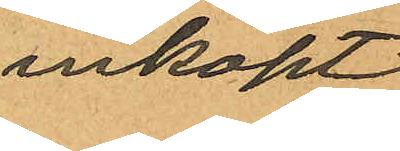inköpt
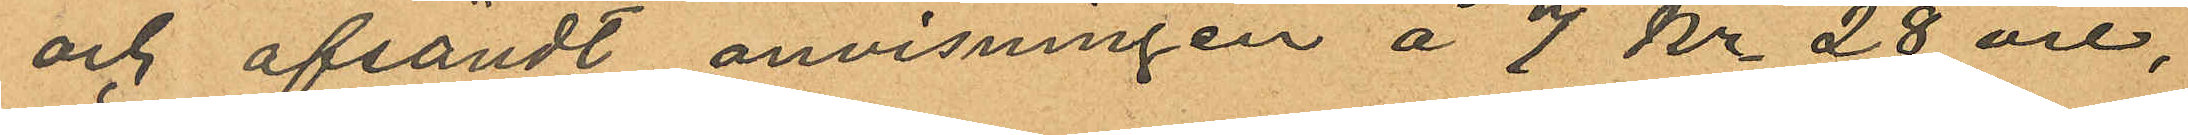och afsändt anvisningen å 7 kr 28 öre,
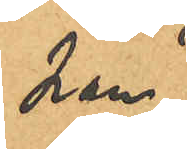han
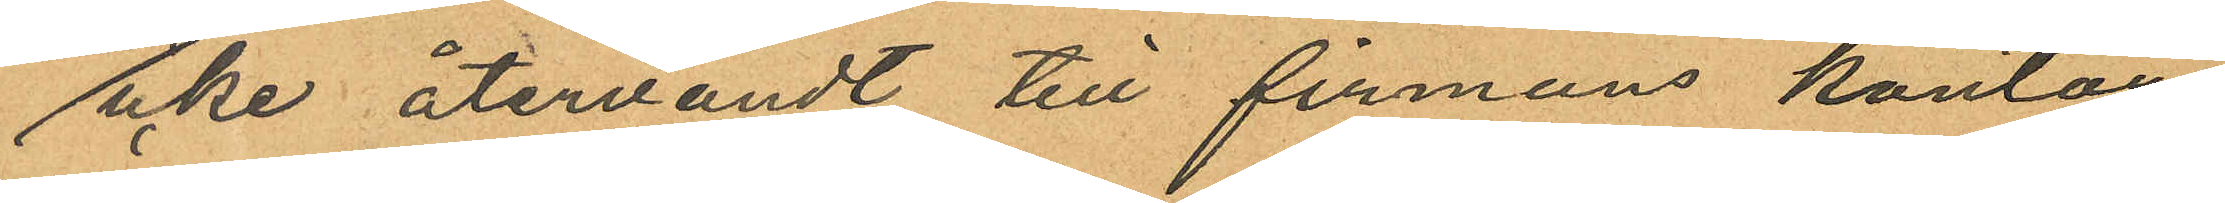icke återvändt till firmans kontor
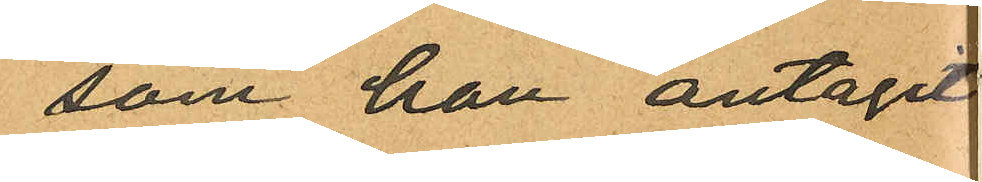som han antagit
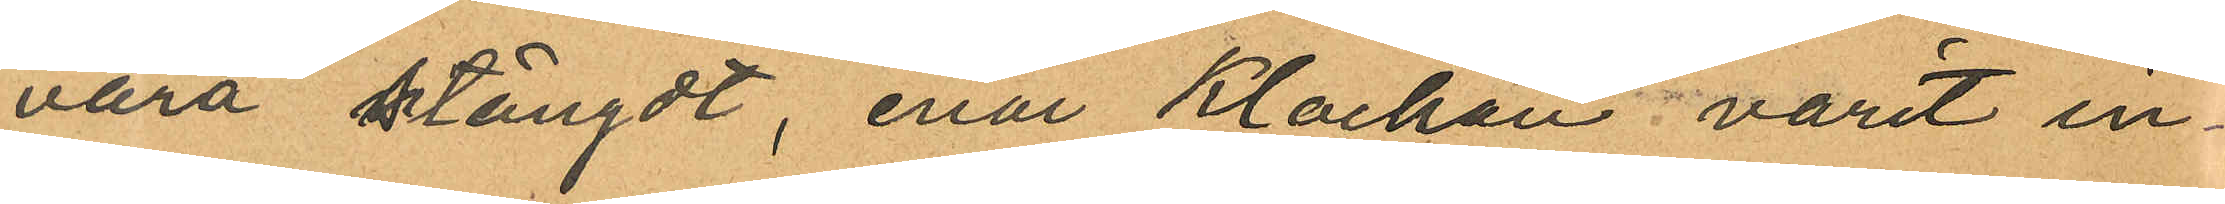vara stängdt, enär klockan varit in¬
